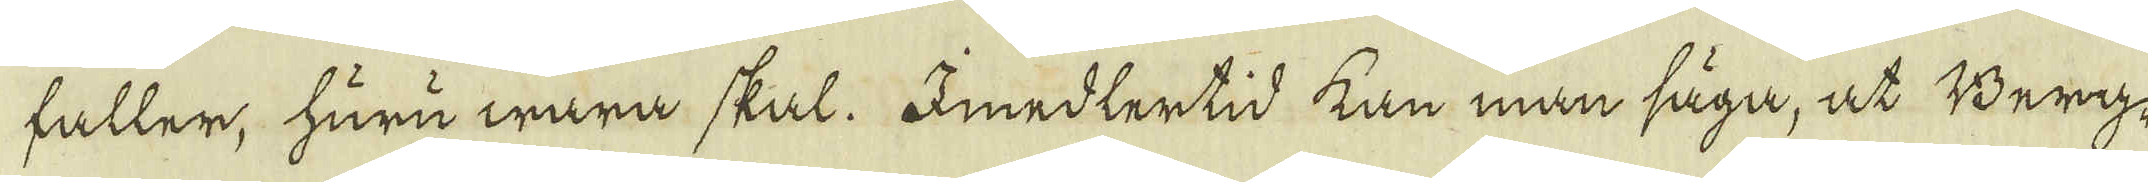faller, huru wara skal. Imedlertid kan man säga, at Berg-
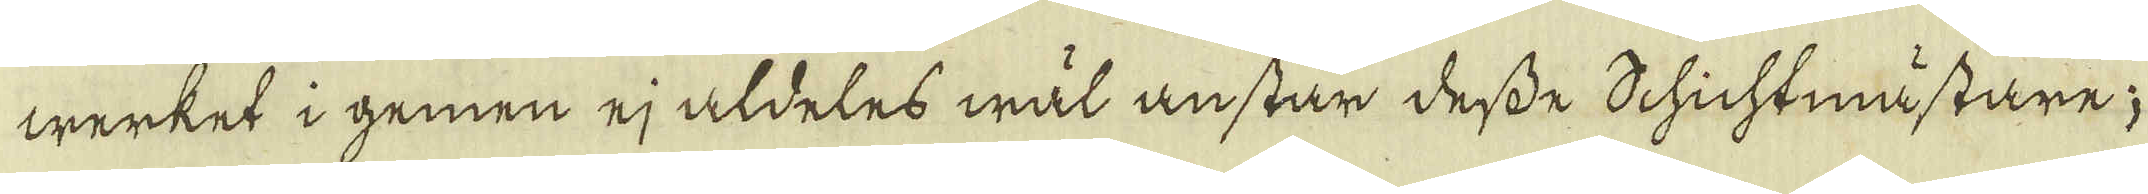werket i gemen ej aldeles wäl anstår desse Schichtmästare;
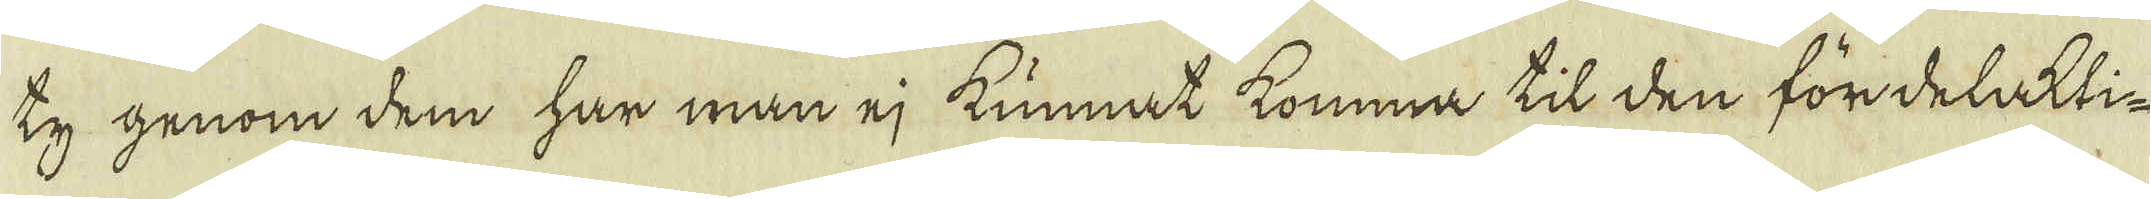Ty genom dem har man ej kunnat komma til den fördelakti-
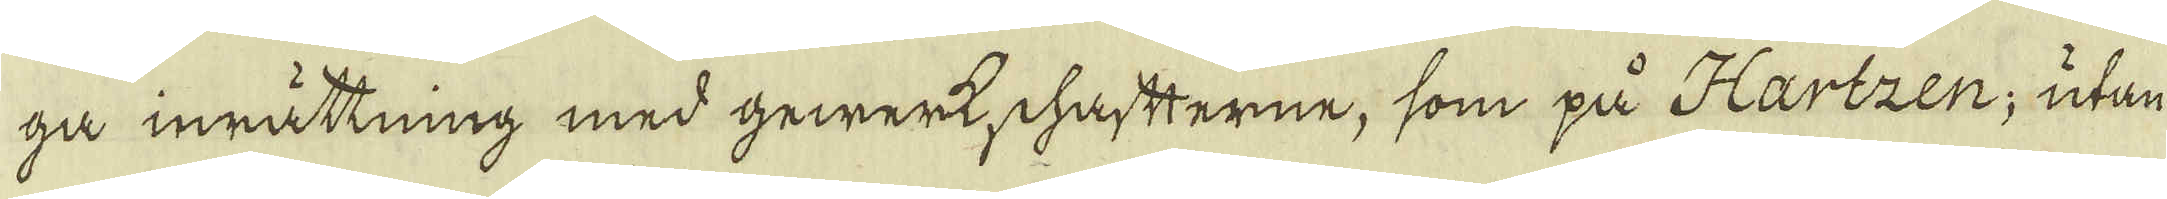ga inrättning med gewerkschaftterne, som på Hartzen, utan
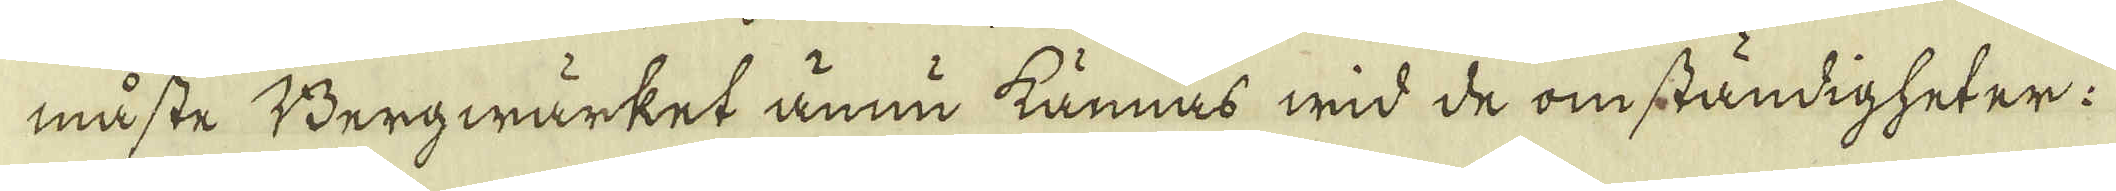måste Bergwärket ännu kännas wid de omständigheter:
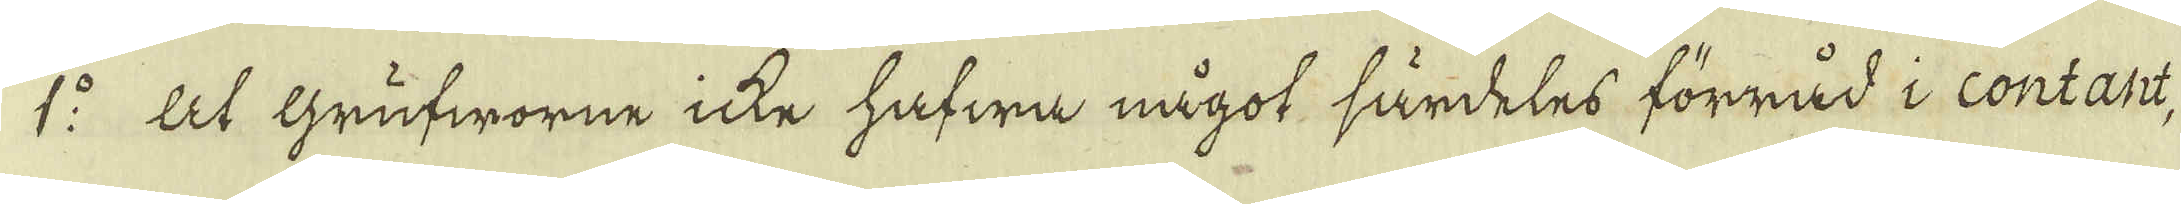1:o At grufworne icke hafwa något särdeles förråd i contant,
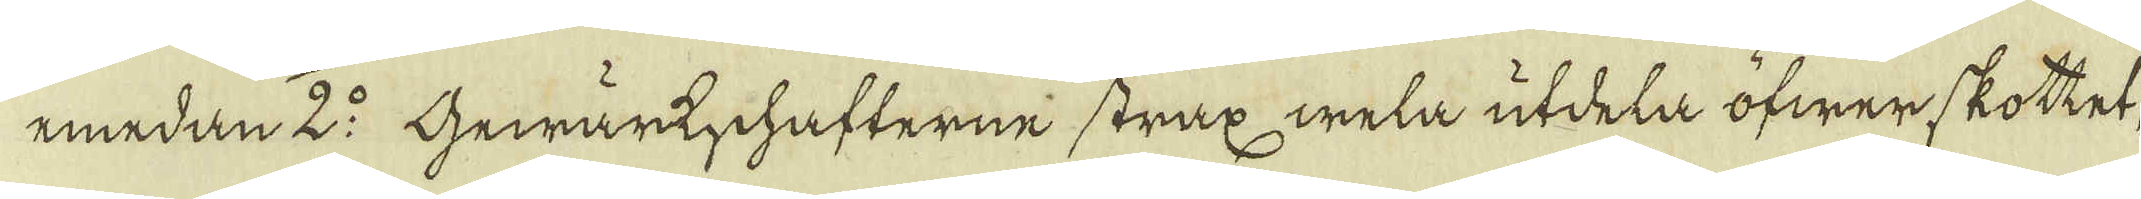emedan 2:o Gewärkschafterne strax wela utdela öfwerskottet,
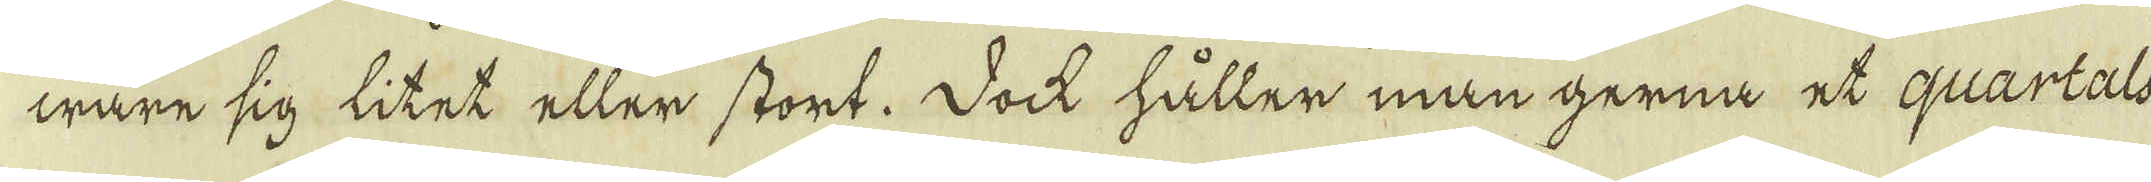wara sig litet eller stort. Dock håller man gerna et quartals
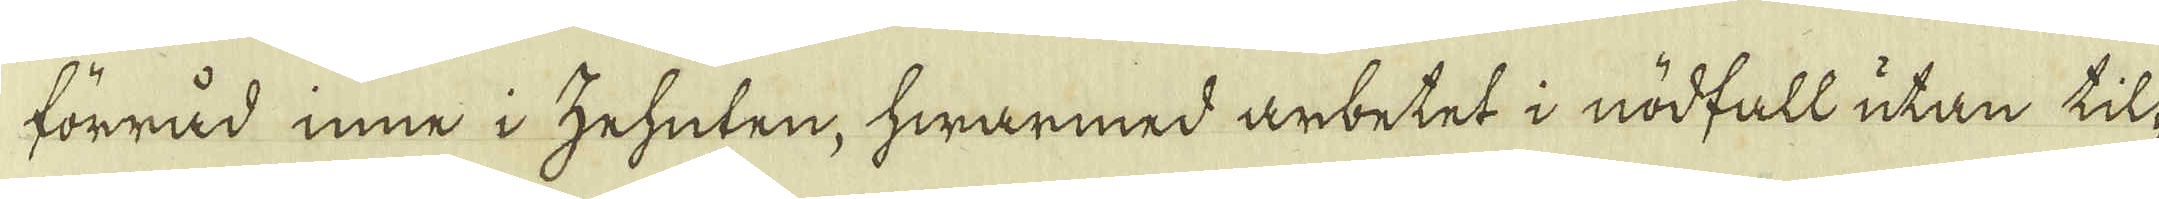förråd inne i zehuten, hwarmed arbetet i nödfall utan til-
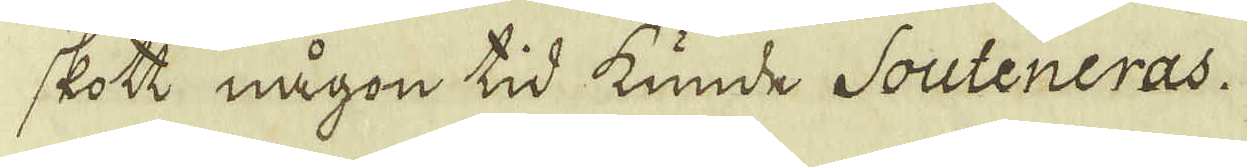skott någon tid kunde Souteneras.
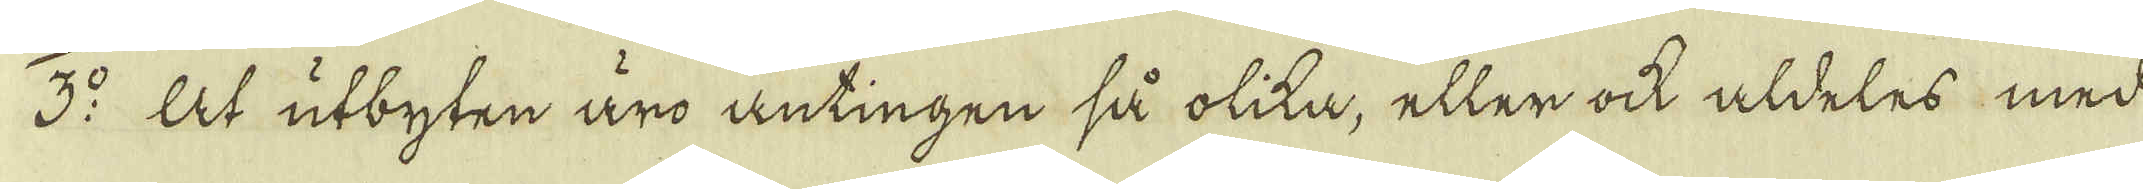3:o At utbyten äro antingen så olika, eller ock aldeles med
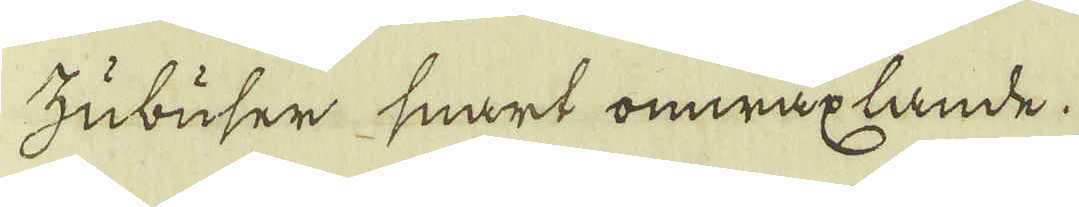Zubuser snart omwäxlande.
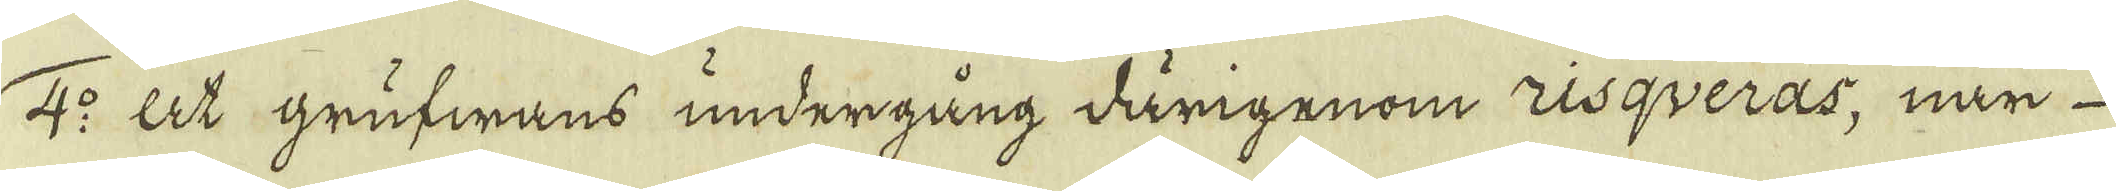4:o At grufwans undergång därigenom risqueras, när
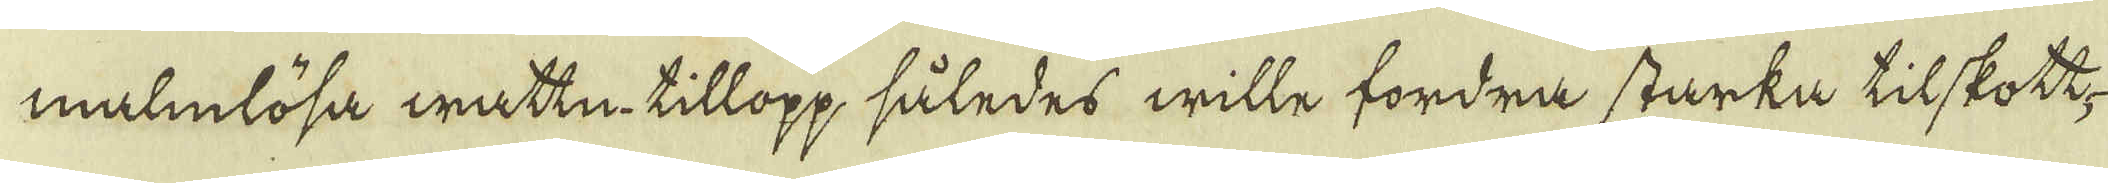malmlösa wattn, tillopp således wille fordra starka tilskott,
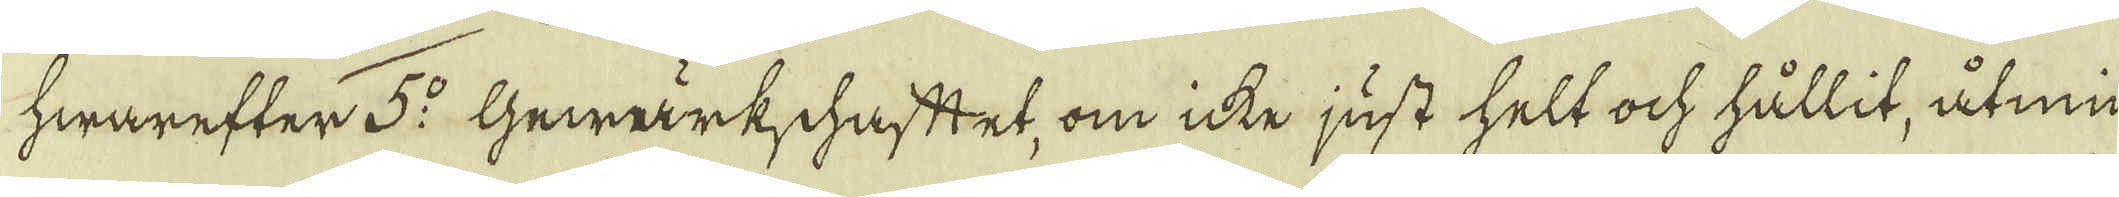hwarefter 5:o Gewärkschafttet, om icke just helt och hållit, åtmin-
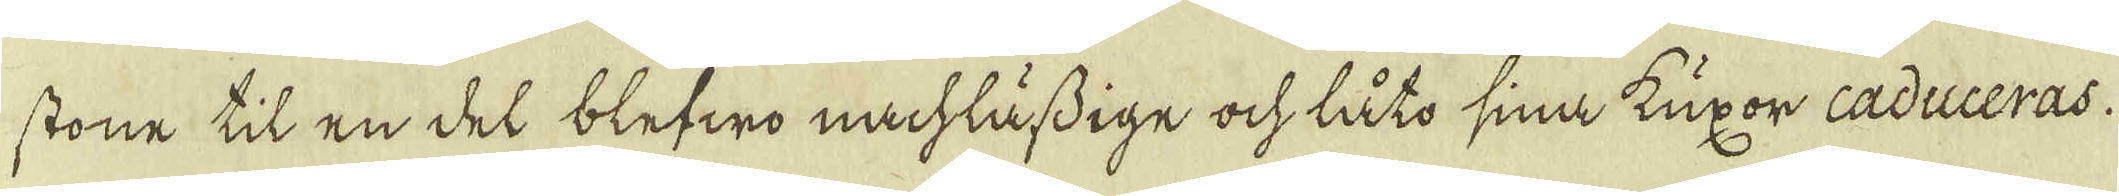stone til en del blefwo nachlässige och låto sina Kuxor caduceras.
